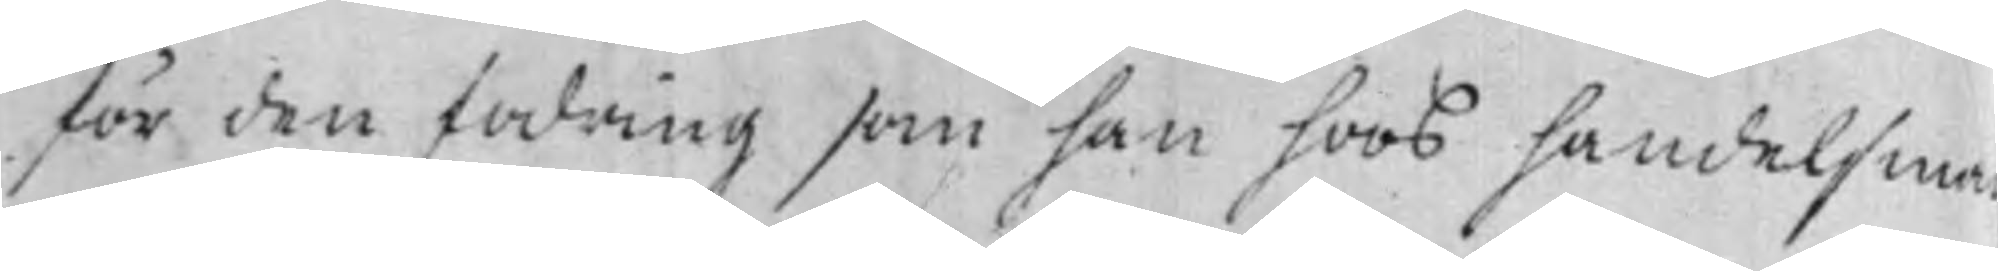för den fodring som han hoos handelsma¬
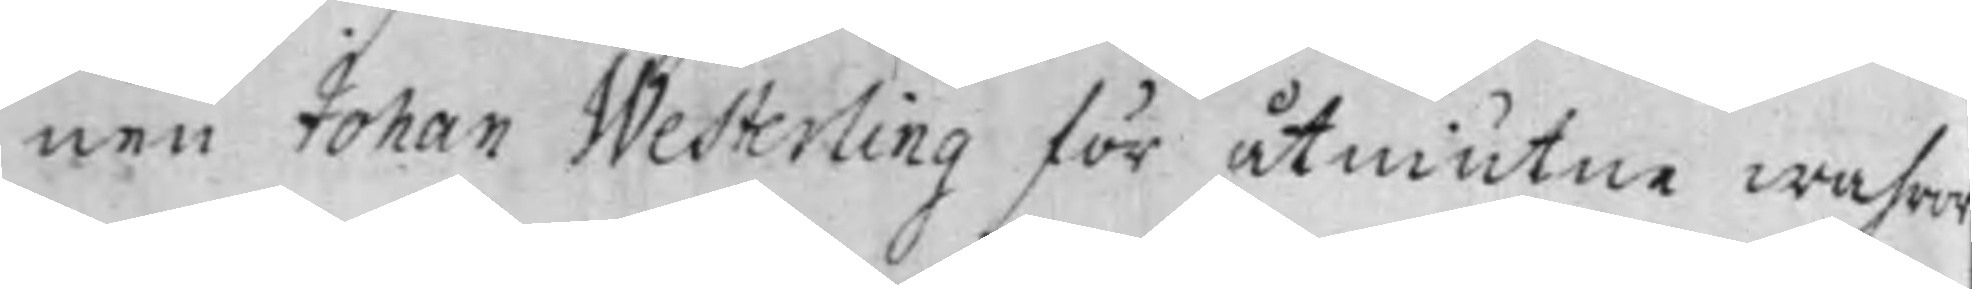nen Johan Westerling för åtniutne wahror
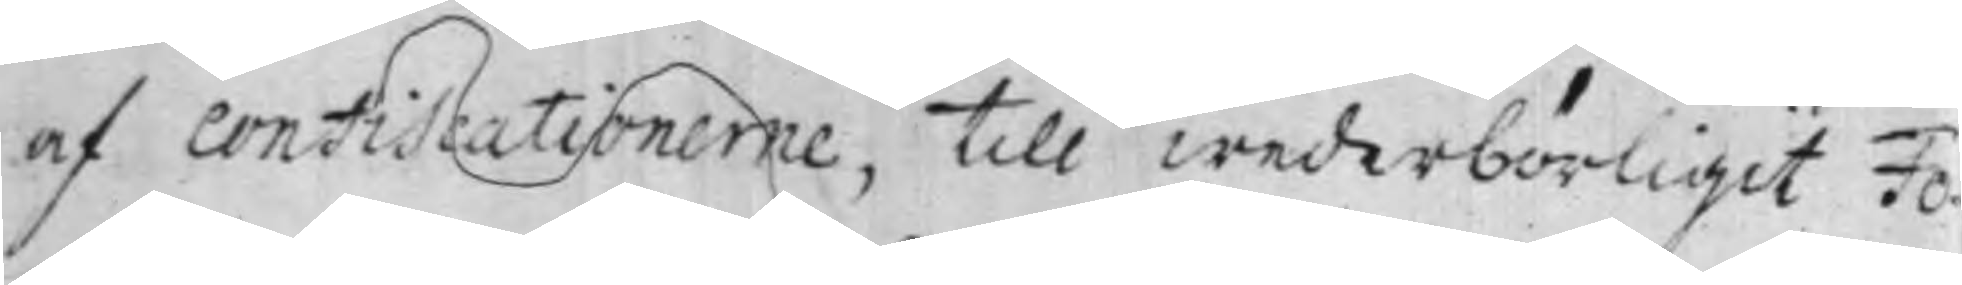af Confiscationerne, till wederbörligit Fo¬
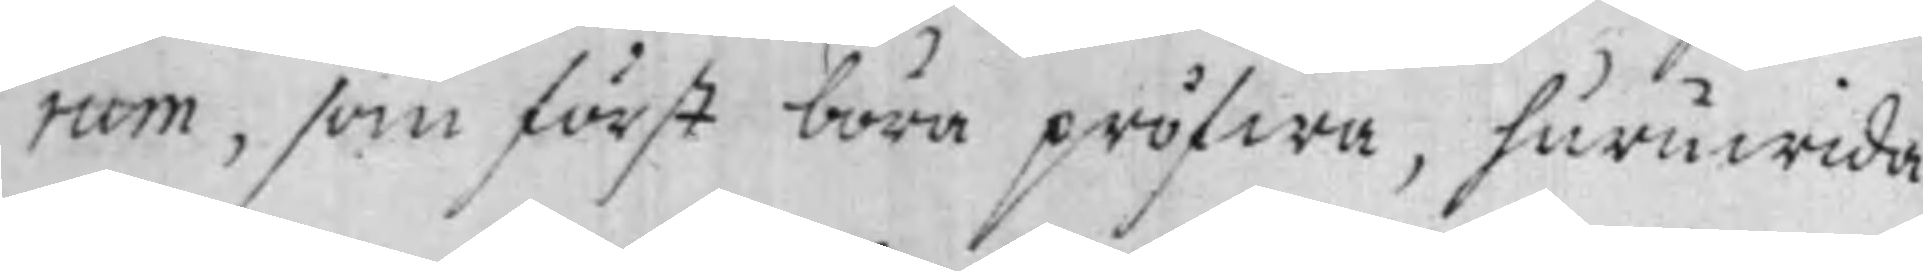rum, som först böra pröfwa, huruwida
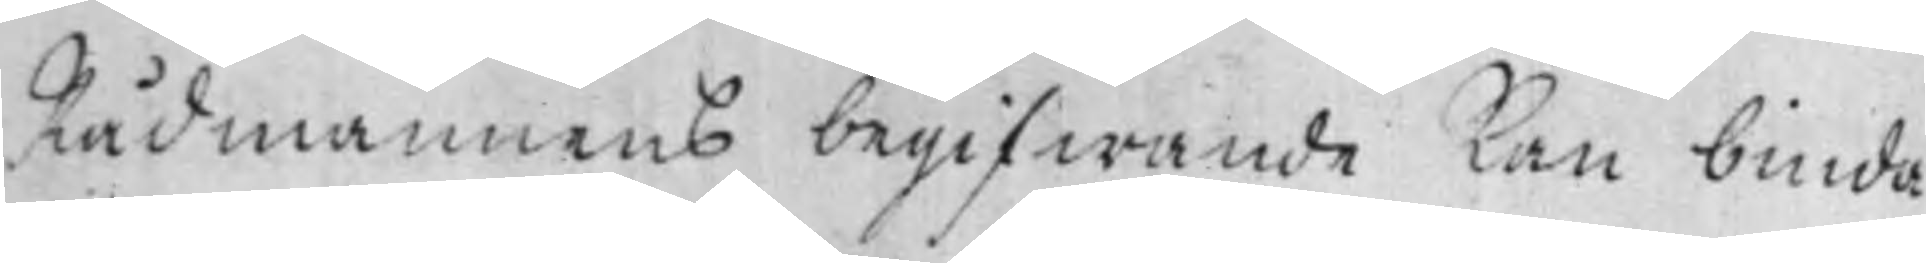Rådmannens begifwande kan binda
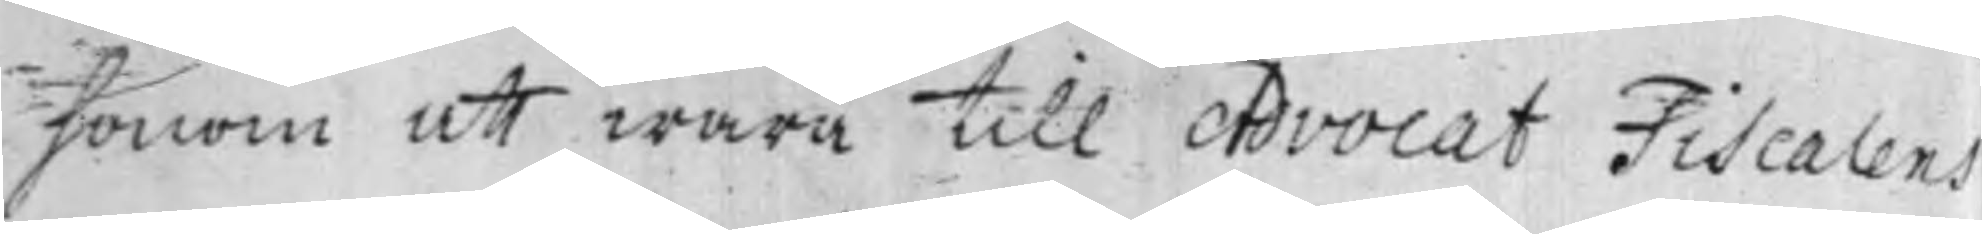honom att wara till Advocat Fiscalens
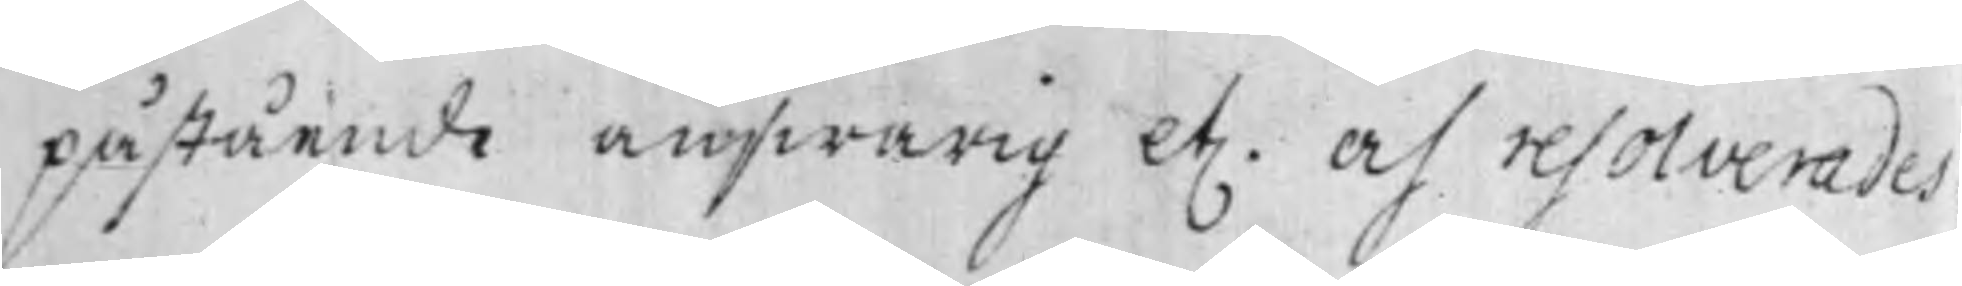påstående answarig et. och resolverades
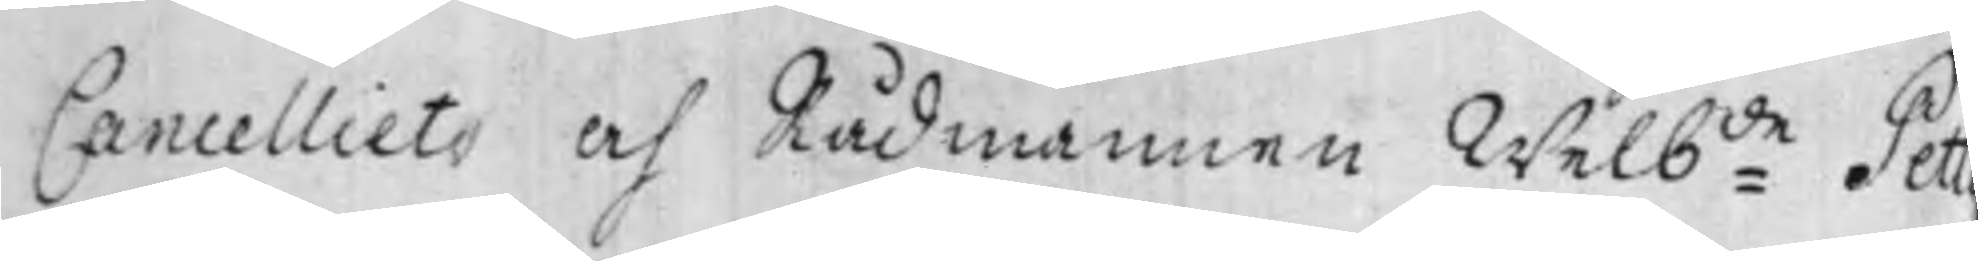Cancellets och Rådmannen Welb:de Pett
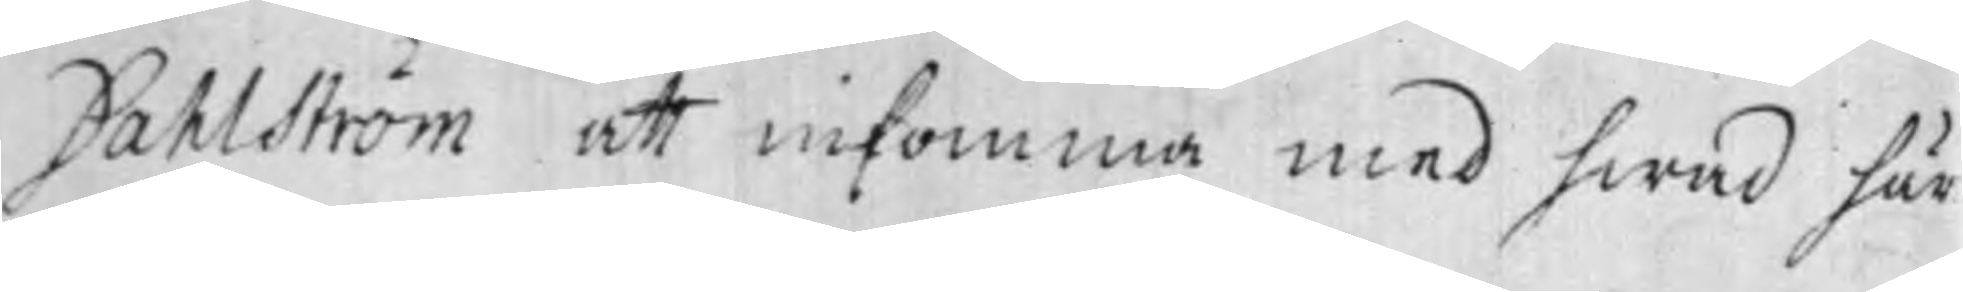Dahlström att inkomma med hwad här
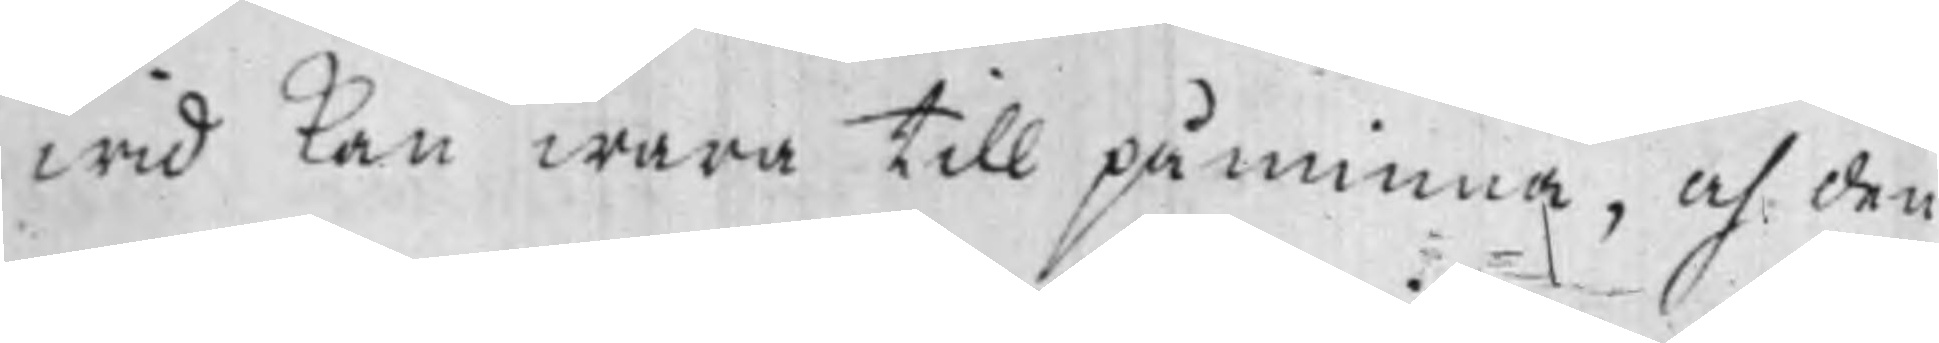wid kan wara till påminna, och den
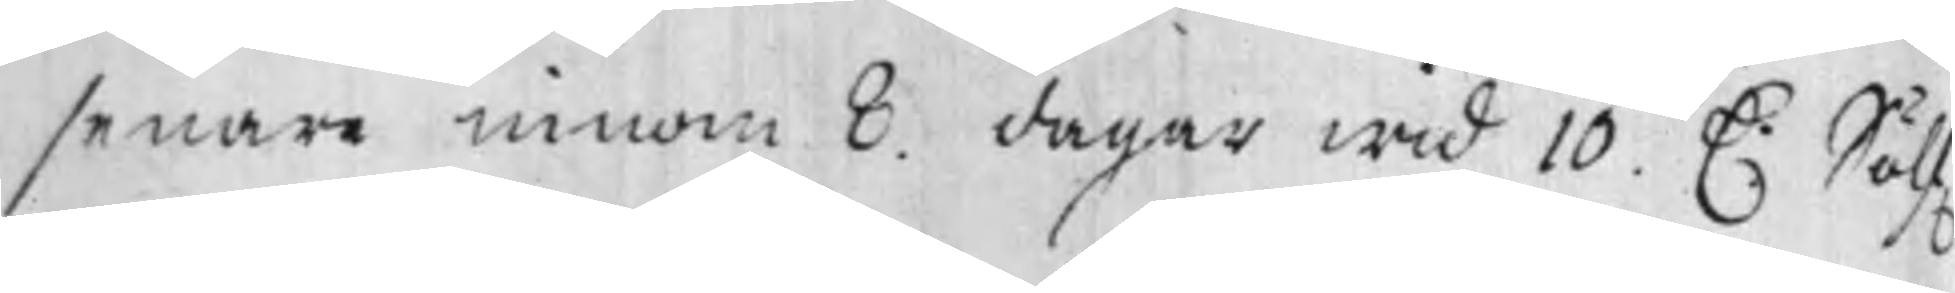senare innom 8. dagar wid 10. D. Sölf.
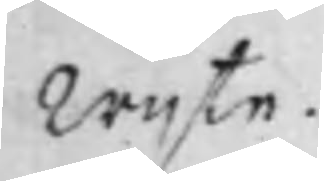Wijte.
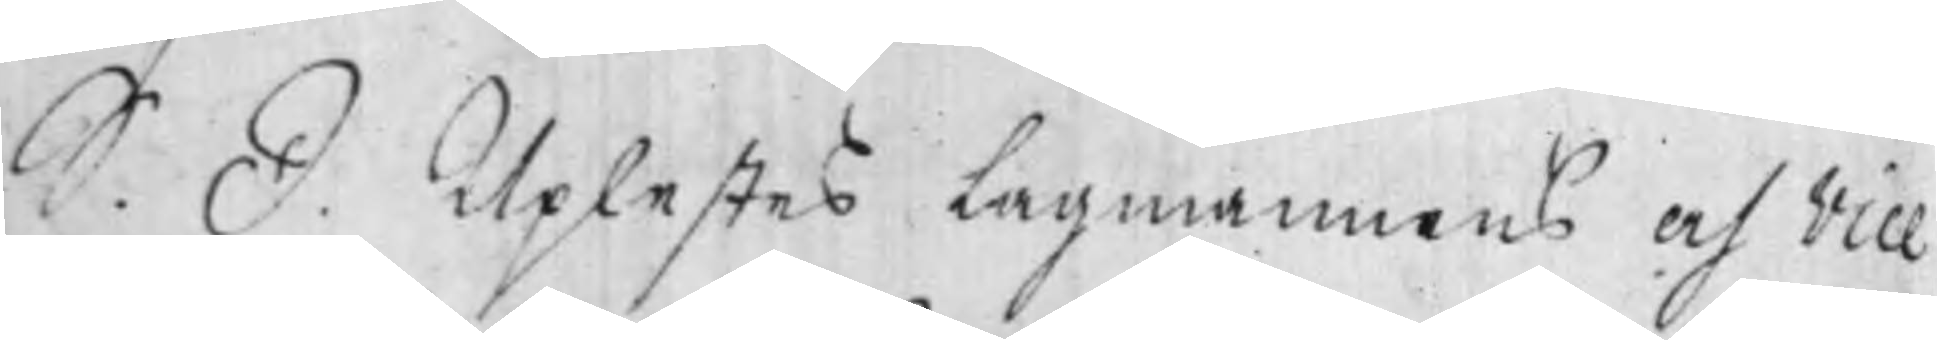S. D. Uplestes Lagmannens och Vice
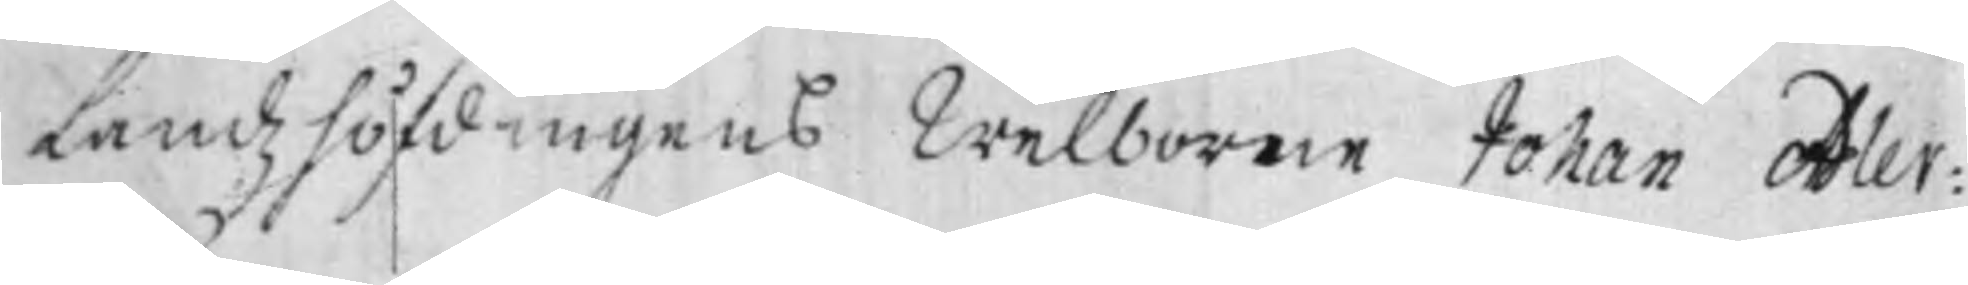Landzhöfdingens Welborne Johan Adler¬
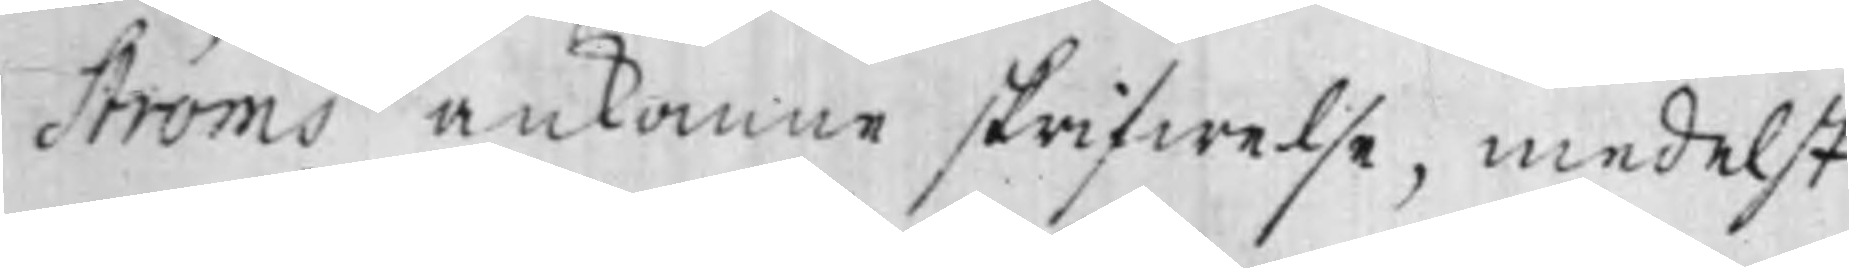ströms ankomne skrifwelse, medelst
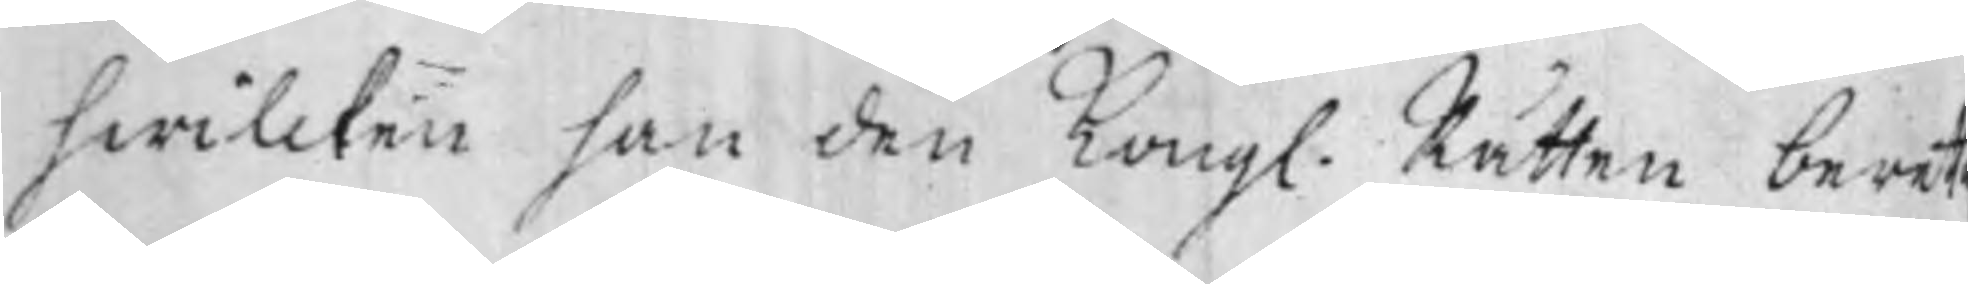hwilcken han den Kongl. Rätten beret
